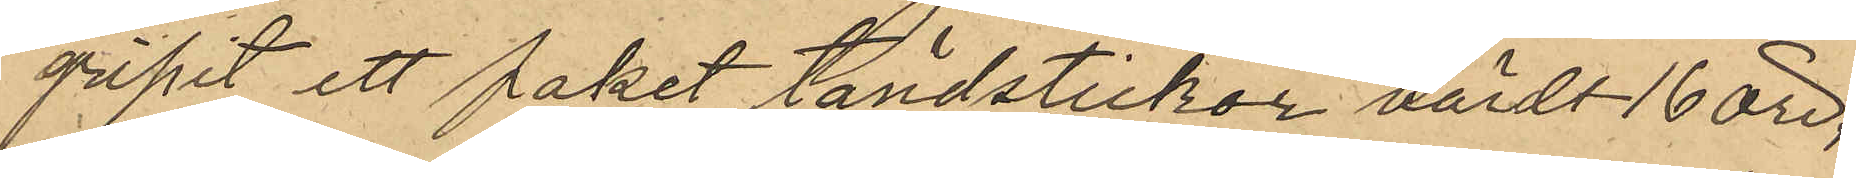gripit ett paket tändstickor värdt 16 öre,
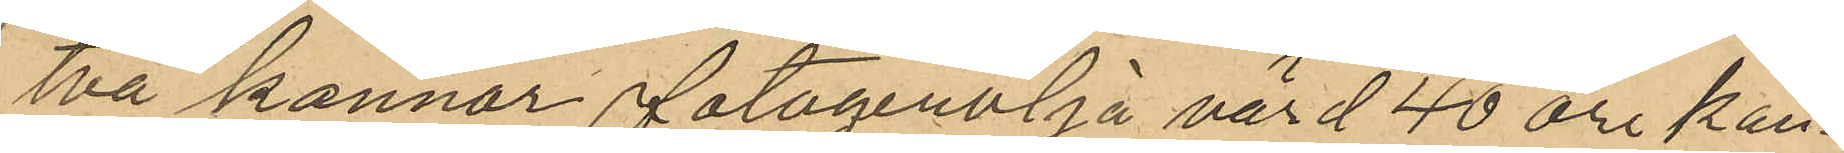två kannor fotogenolja värd 40 öre kan¬
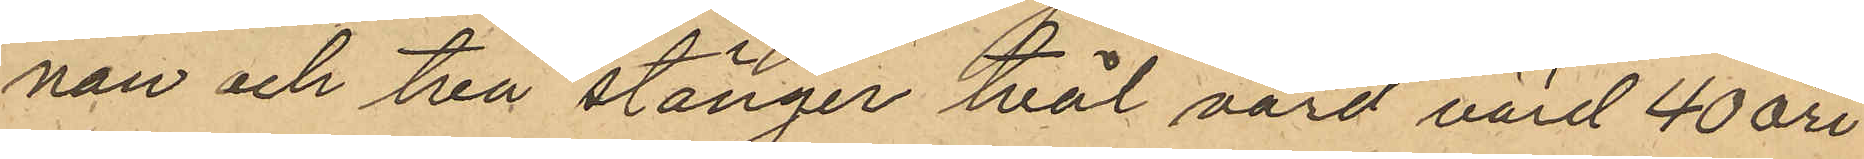nan och två stänger tvål värd värd 40 öre
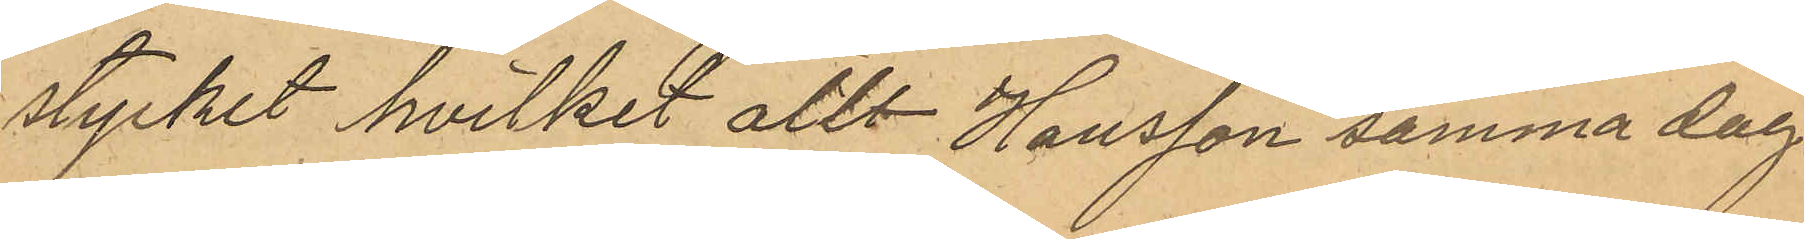stycket hvilket allt Hansson samma dag
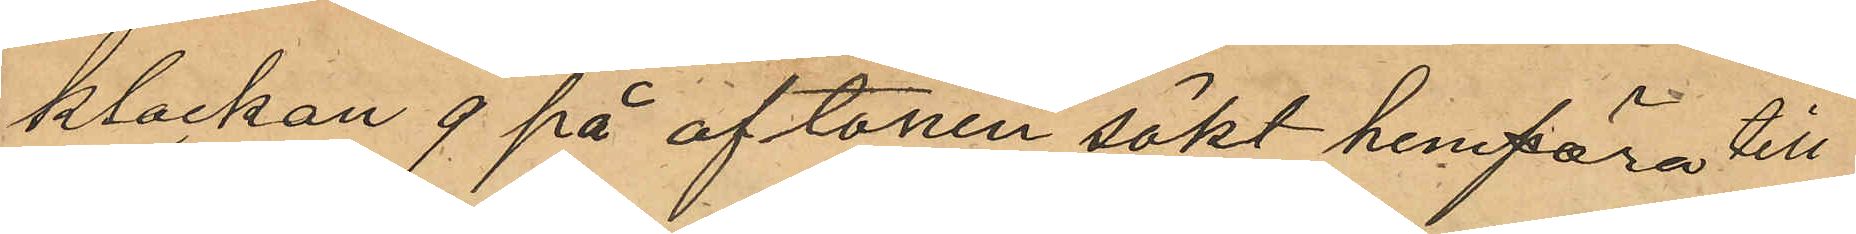klockan 9 på aftonen sökt hemföra till
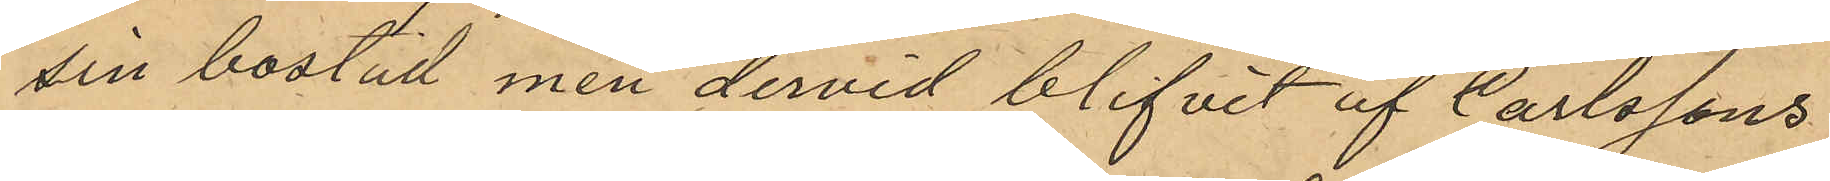sin bostad men dervid blifvit af Carlssons
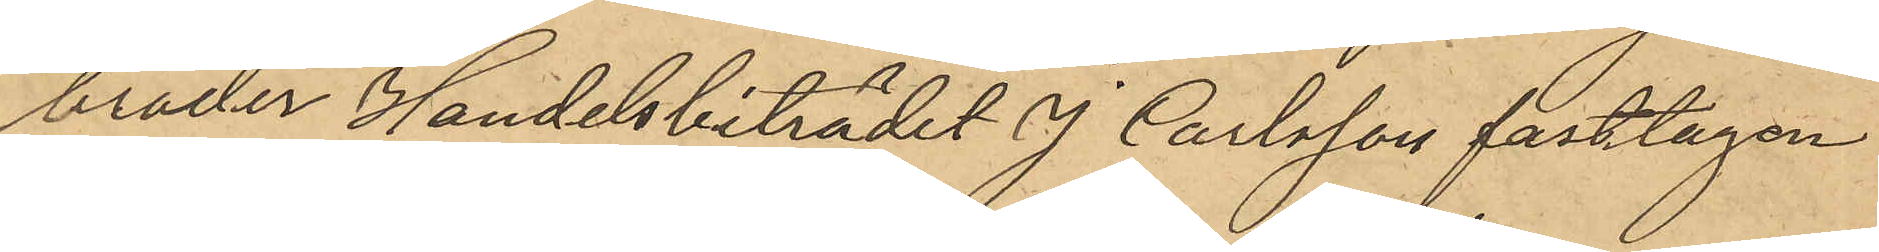broder Handelsbiträdet J. Carlsson fasttagen
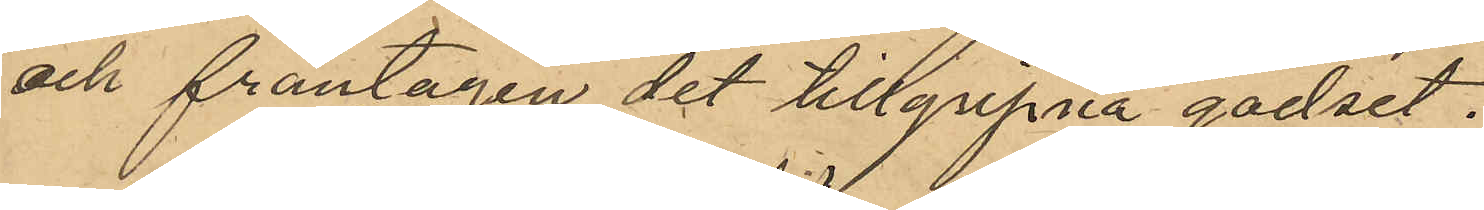och fråntagen det tillgripna godset.
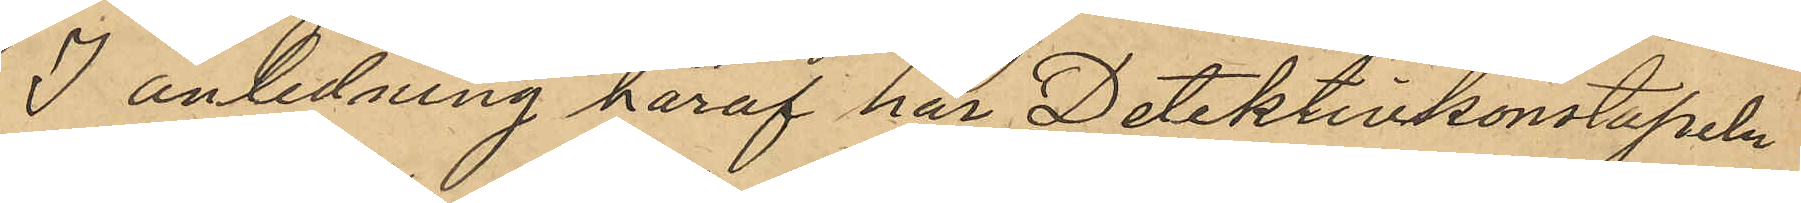I anledning häraf har Detektivkonstapeln
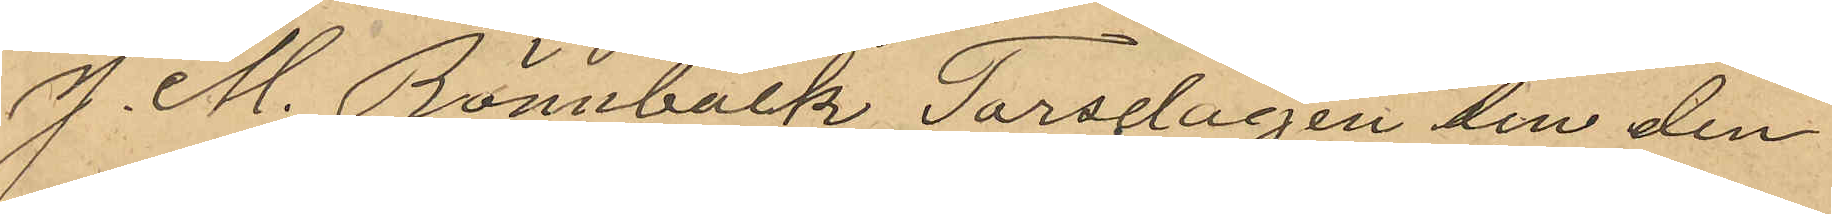J. M. Rönnbäck Torsdagen den den
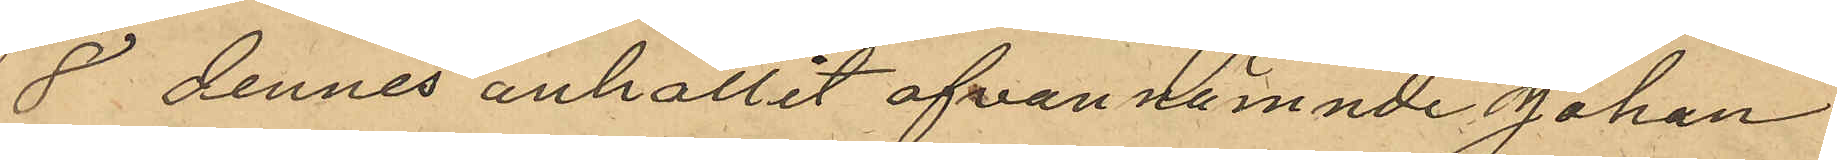8 dennes anhållit ofvannämnde Johan
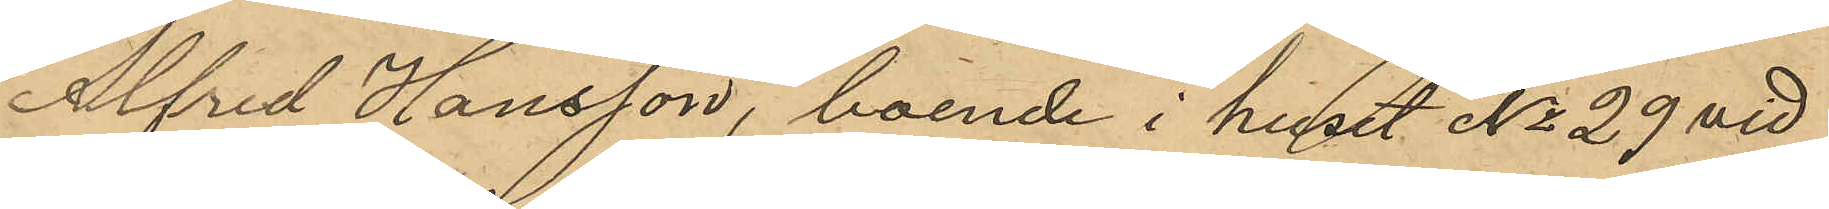Alfred Hansson, boende i huset No 29 vid
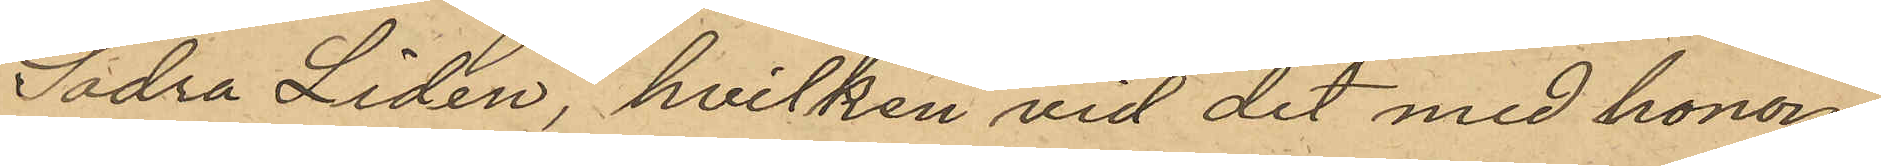Södra Liden, hvilken vid det med honom
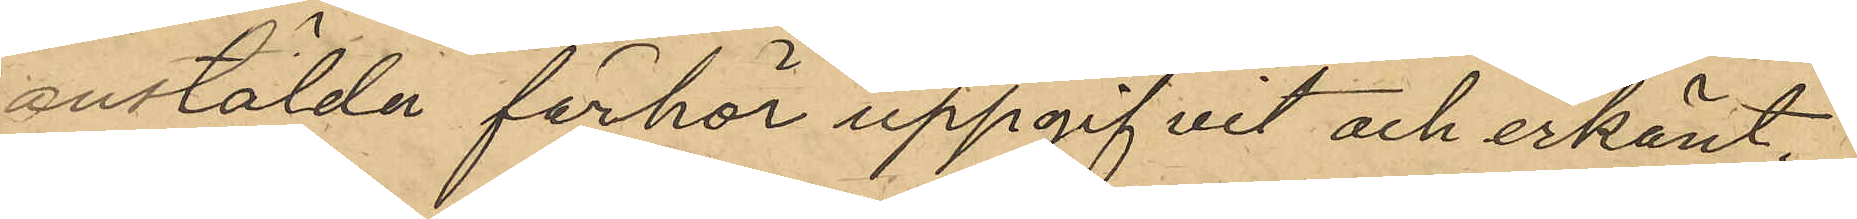anstälda förhör uppgifvit och erkänt
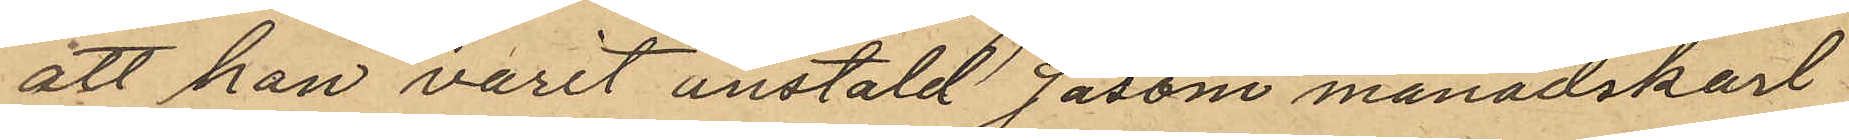att han varit anstäld såsom månadskarl
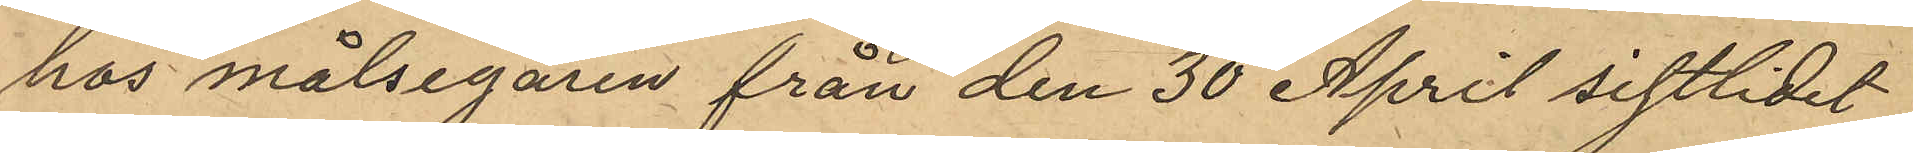hos målsegaren från den 30 April sistlidet
